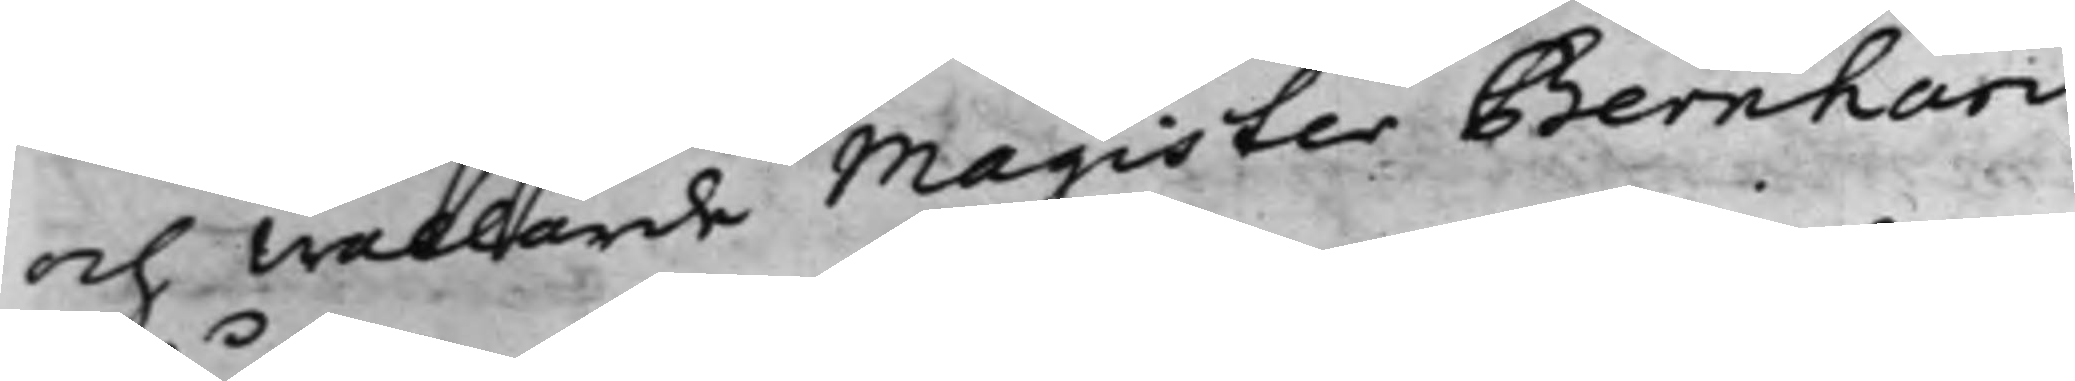och wällärde Magister Bernhard
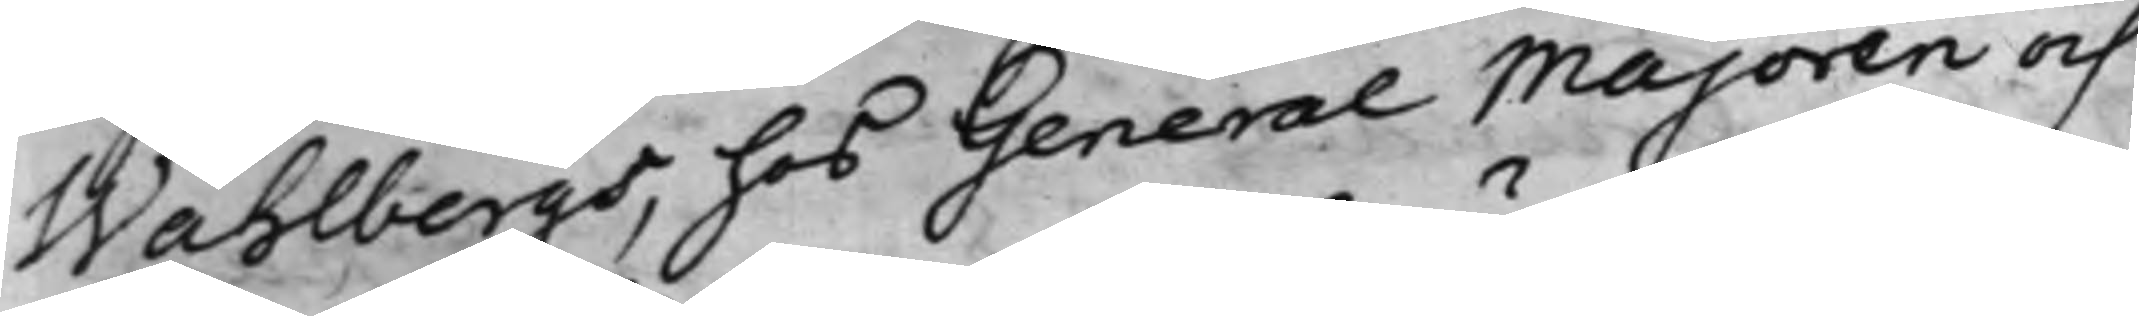Wåhlbergs, hos General Majoren och
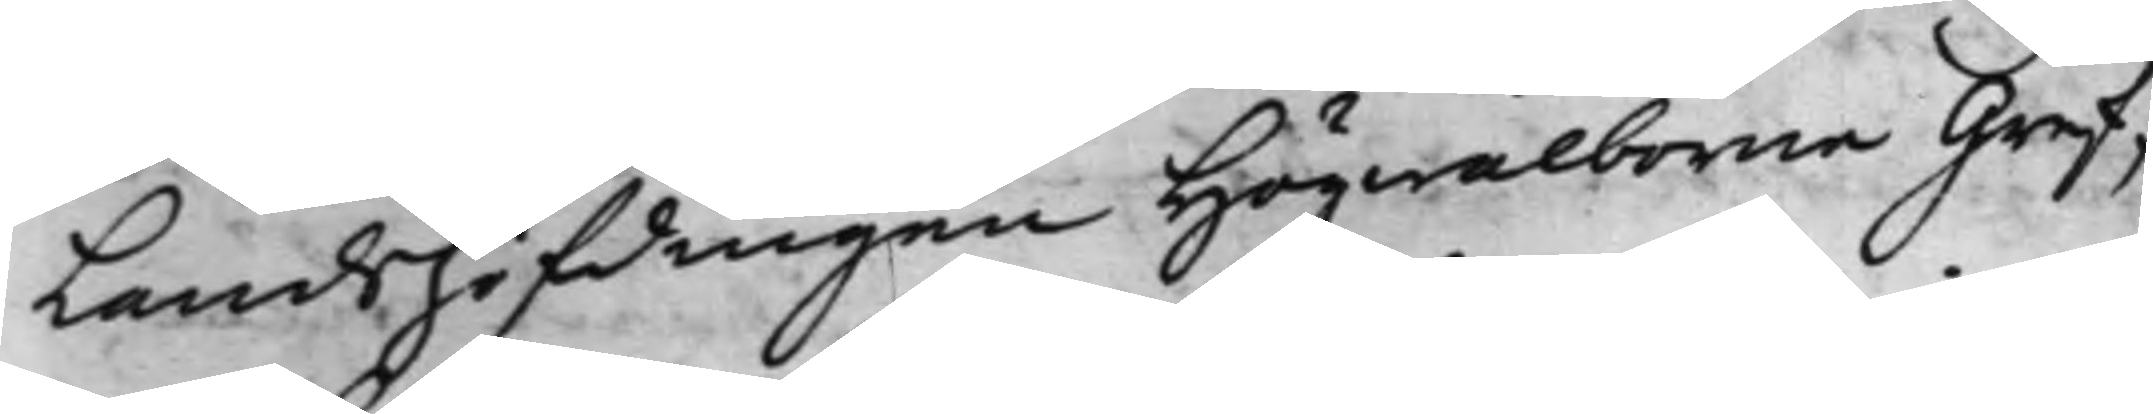Landshöfdingen Högwälborne Gref¬
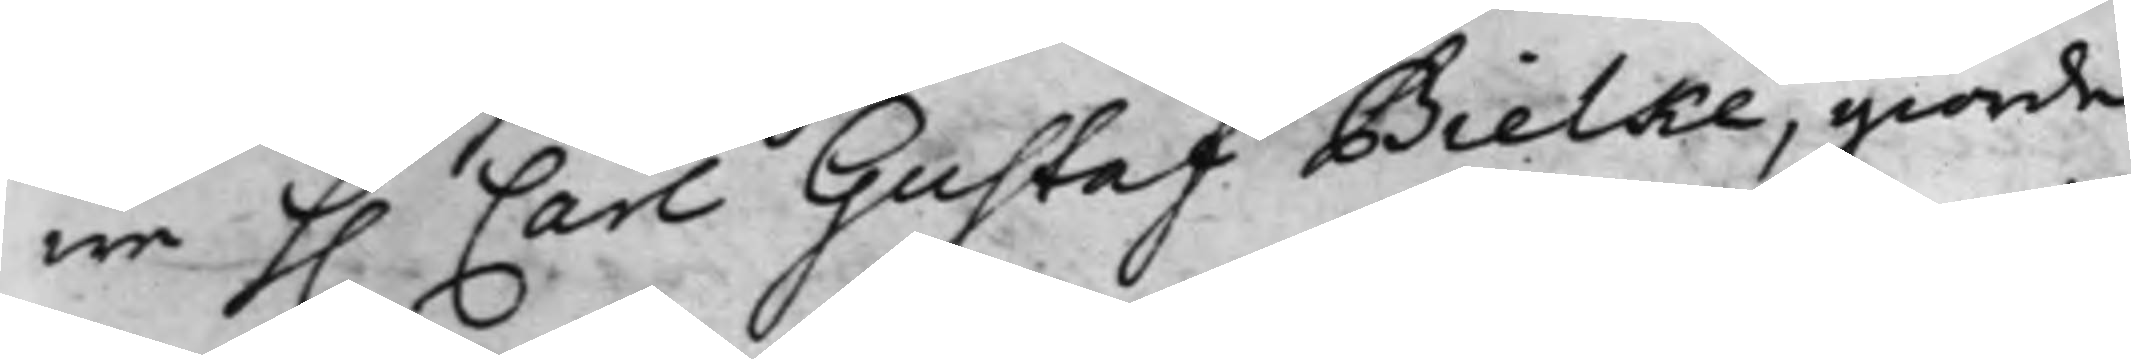we H. Carl Gustaf Bielke, giorde
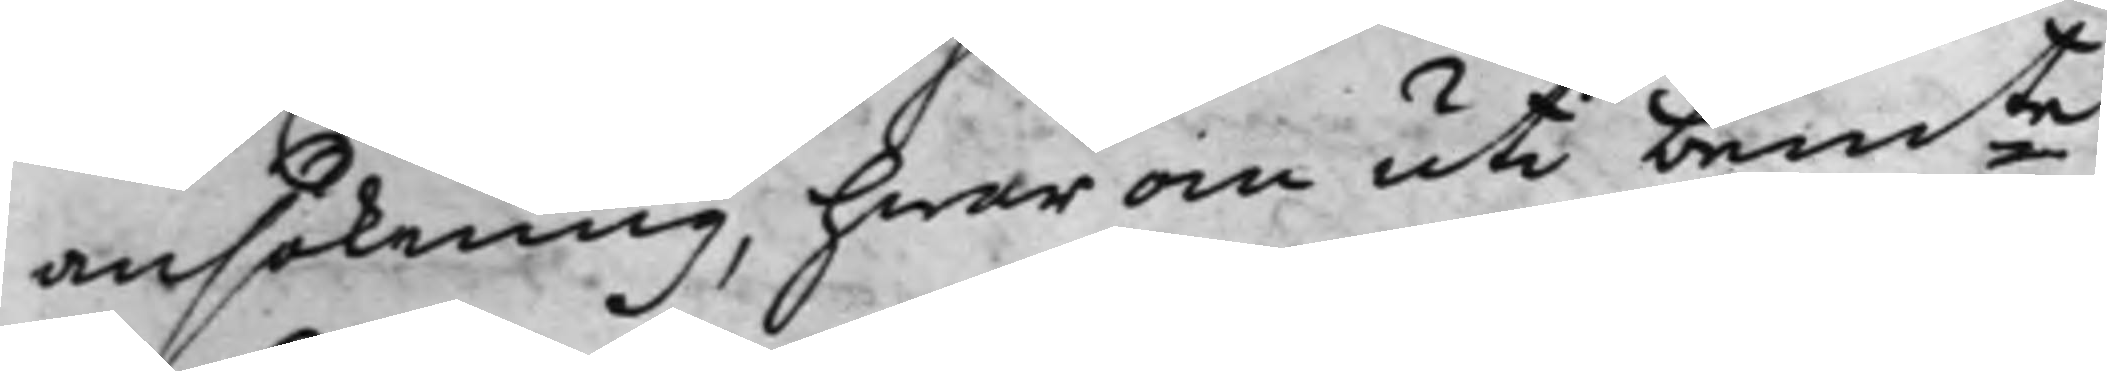ansökning, hwar om uti bemte
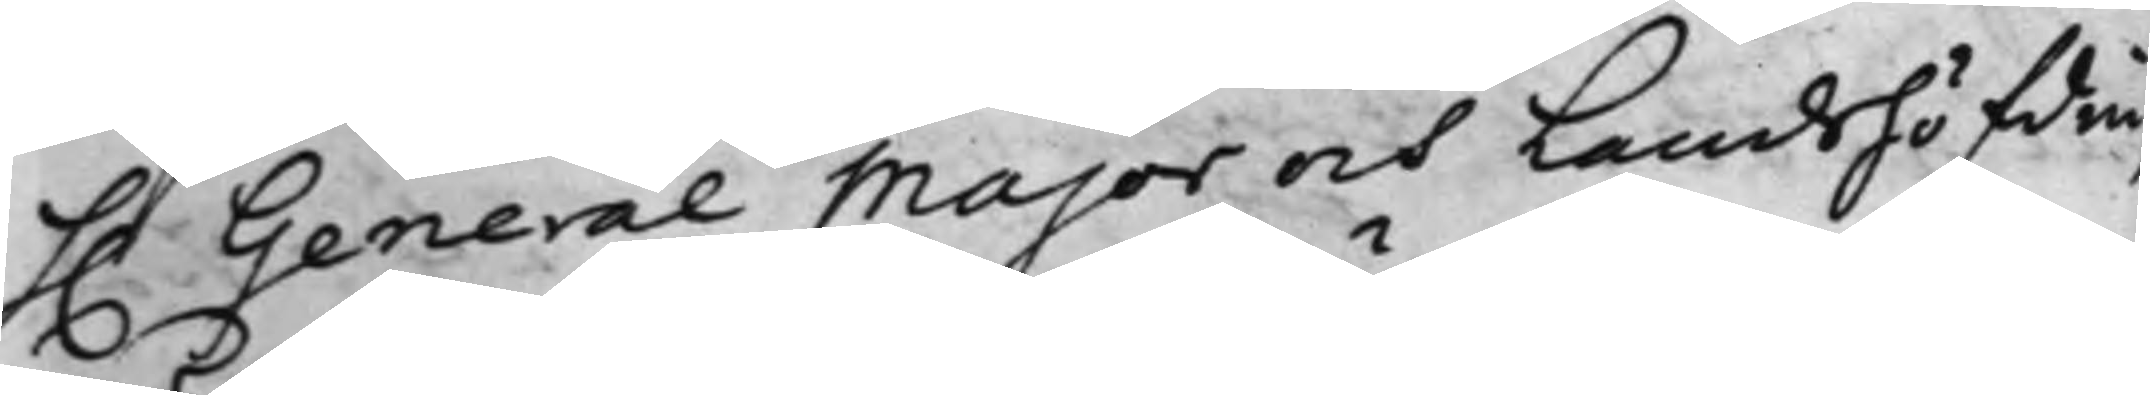h. General Major och Landshöfdin¬
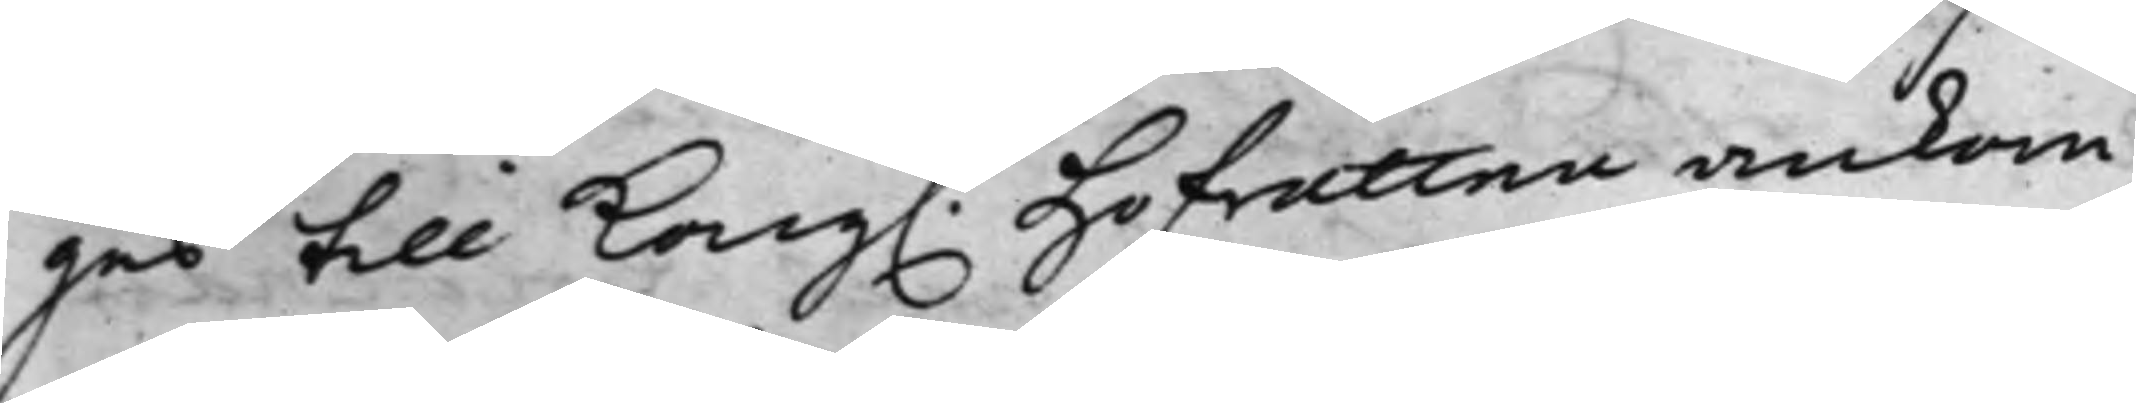ges till Kong. Hofrätten ankom¬
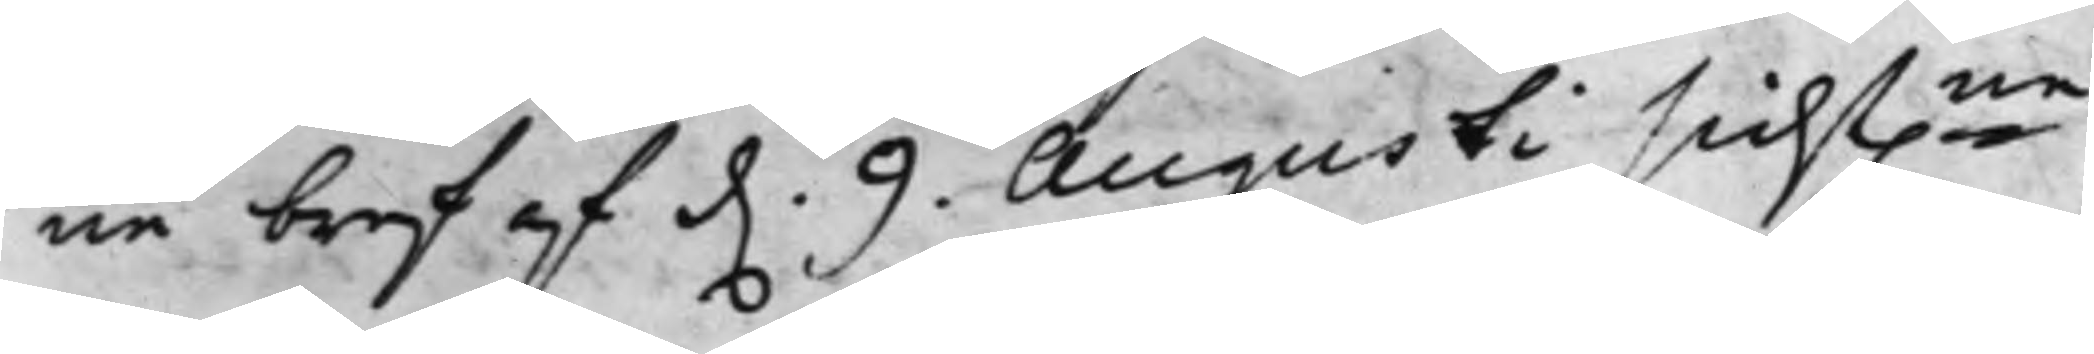ne bref af d. 9 Augusti sidst.ne,
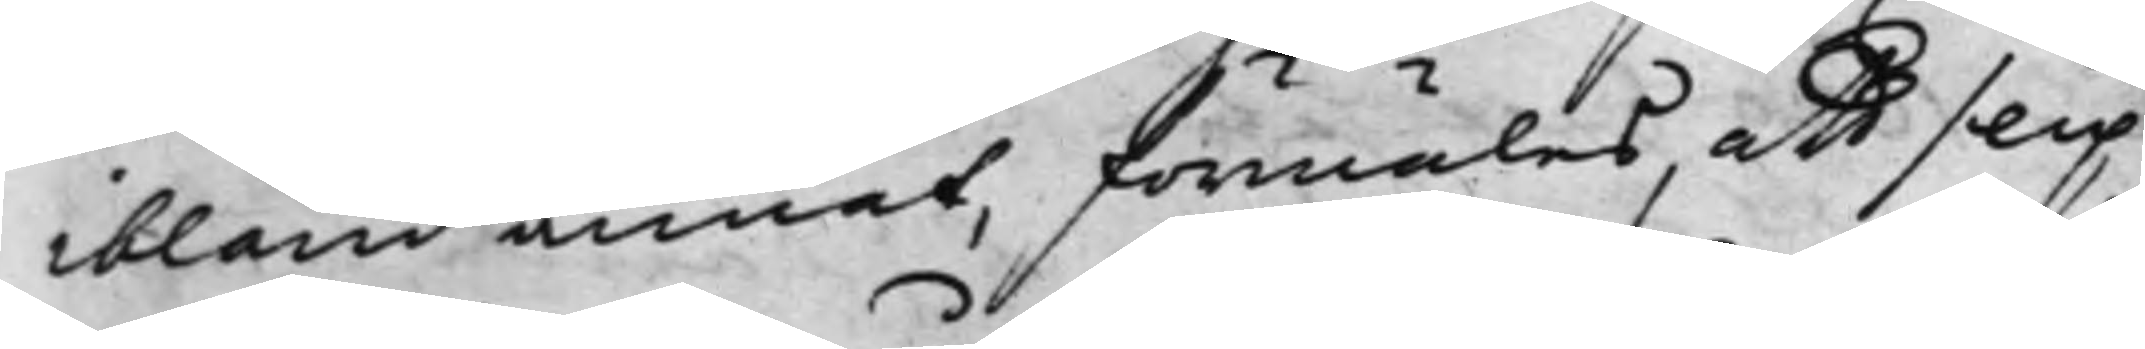ibland annat, förmäles, att slipp¬
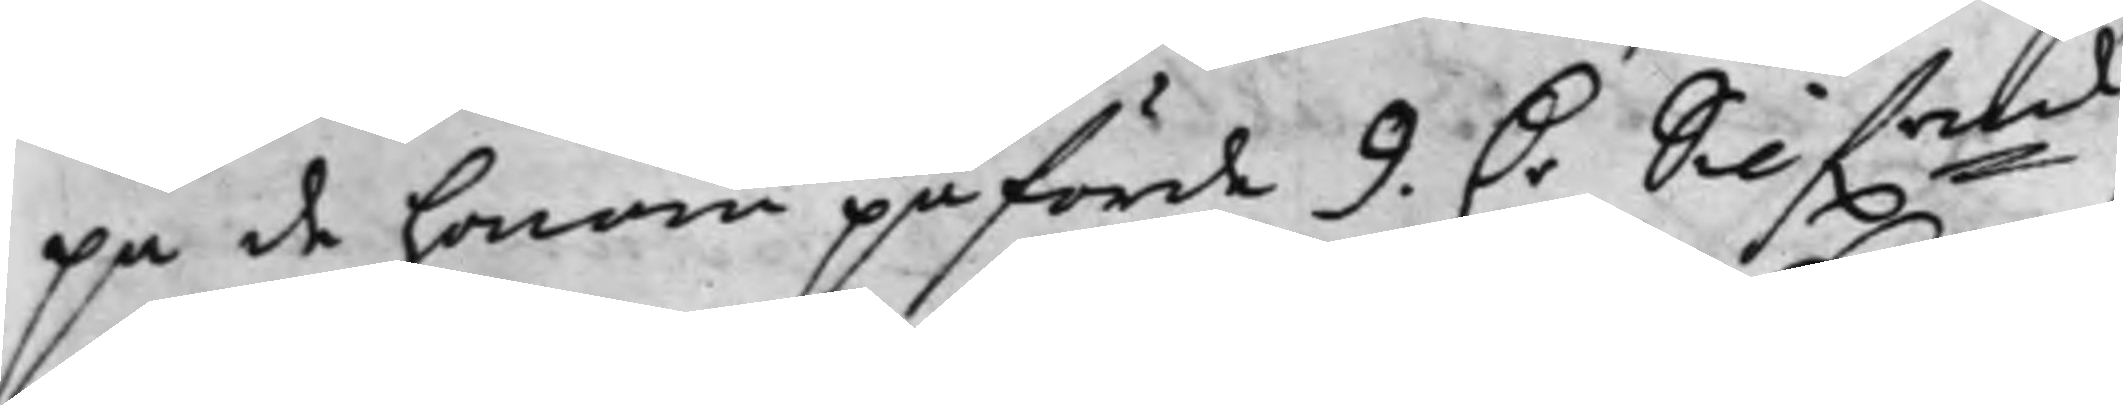pa de honom påförde 9 D.r Silf.mt
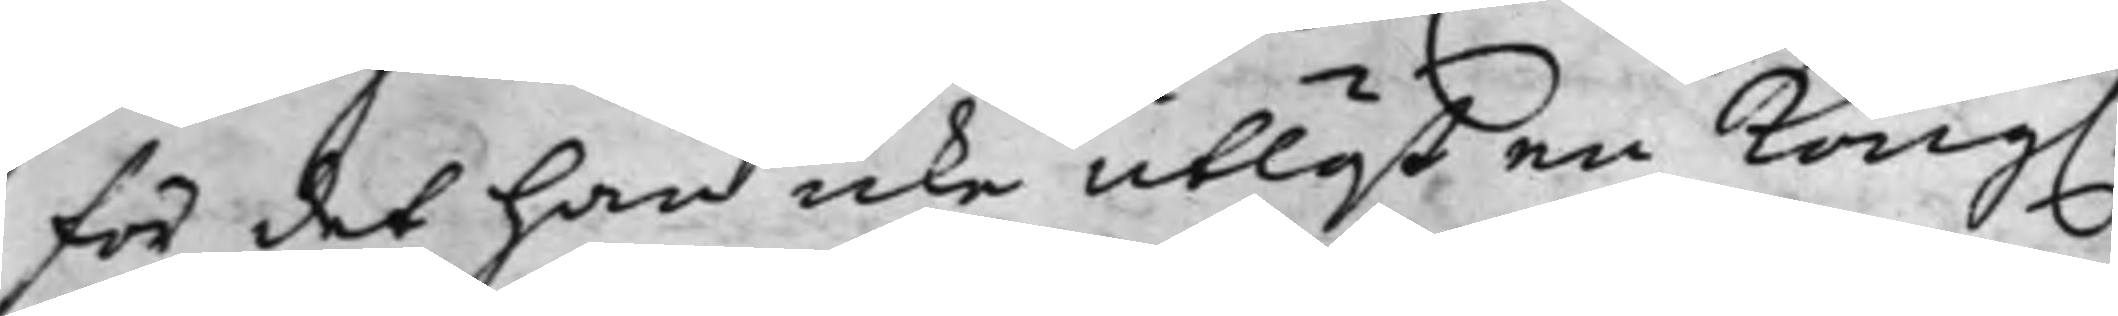för det han icke utläst en Kong.
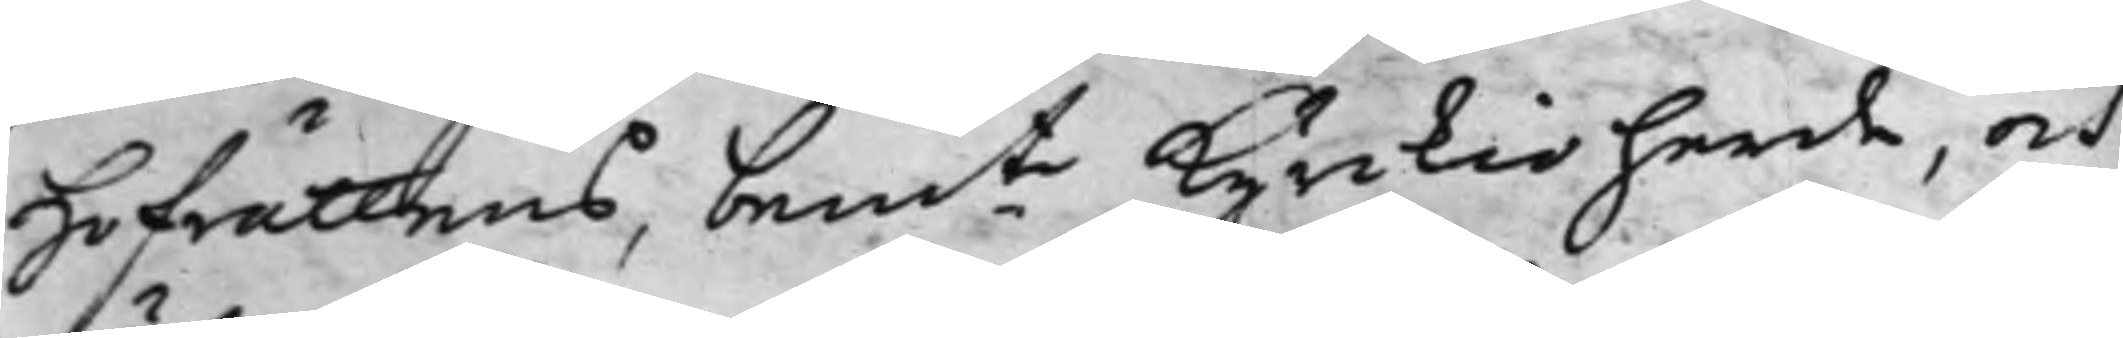Hofrättens, bemte Kyrkioherde, och
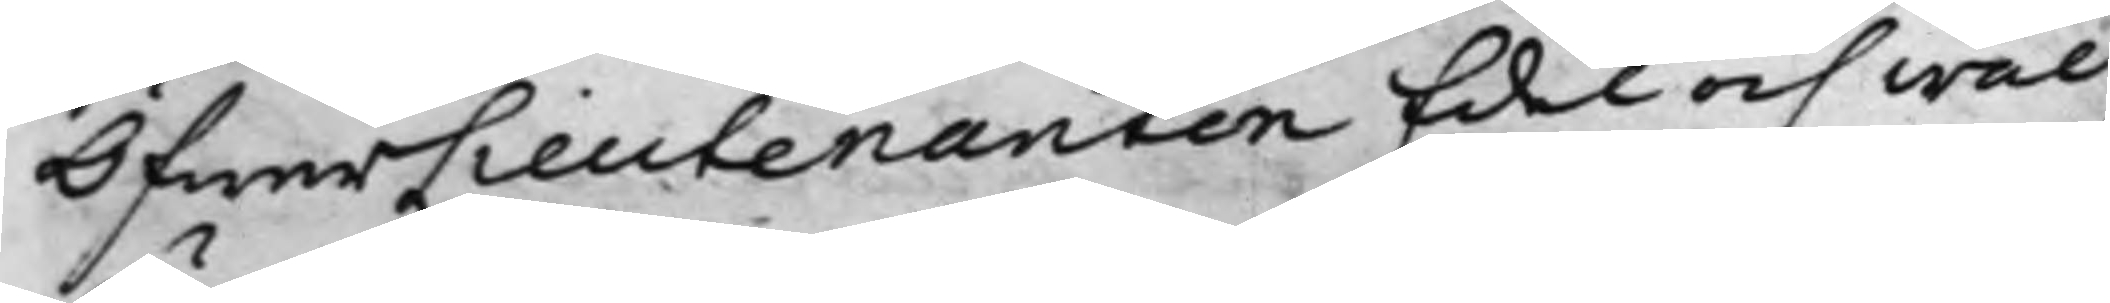Öfwerlieutenanten Edel och wäl¬
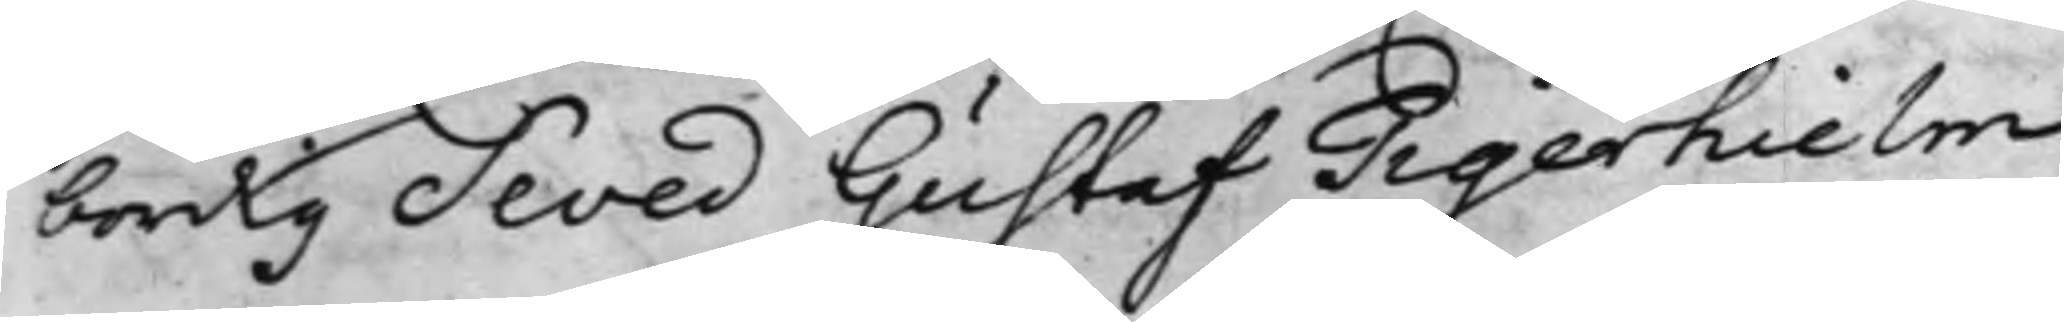bördig Seved Gustaf Tigerhielm
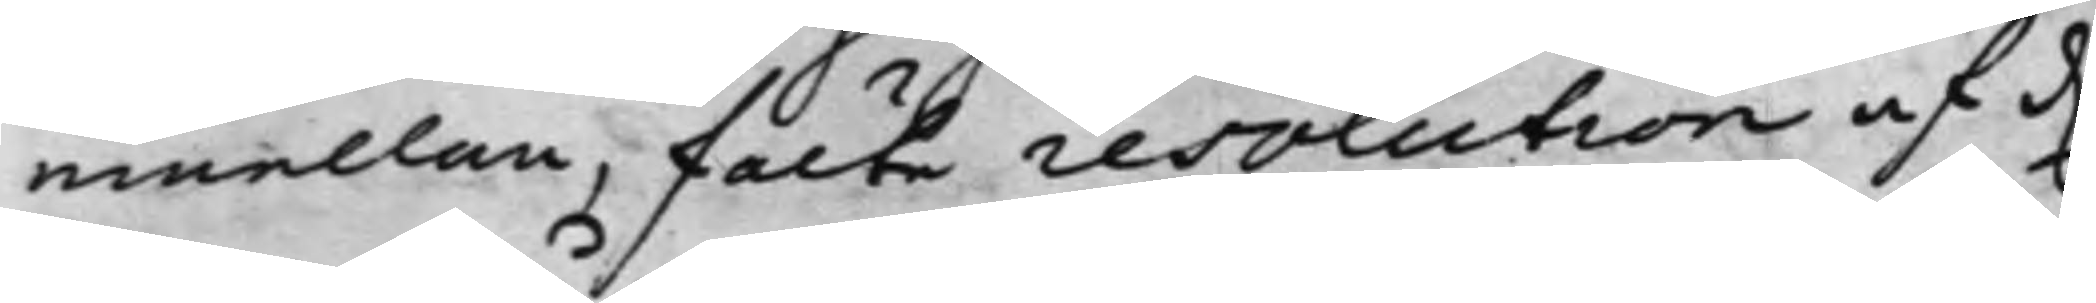emellan, fälte resolution af d.
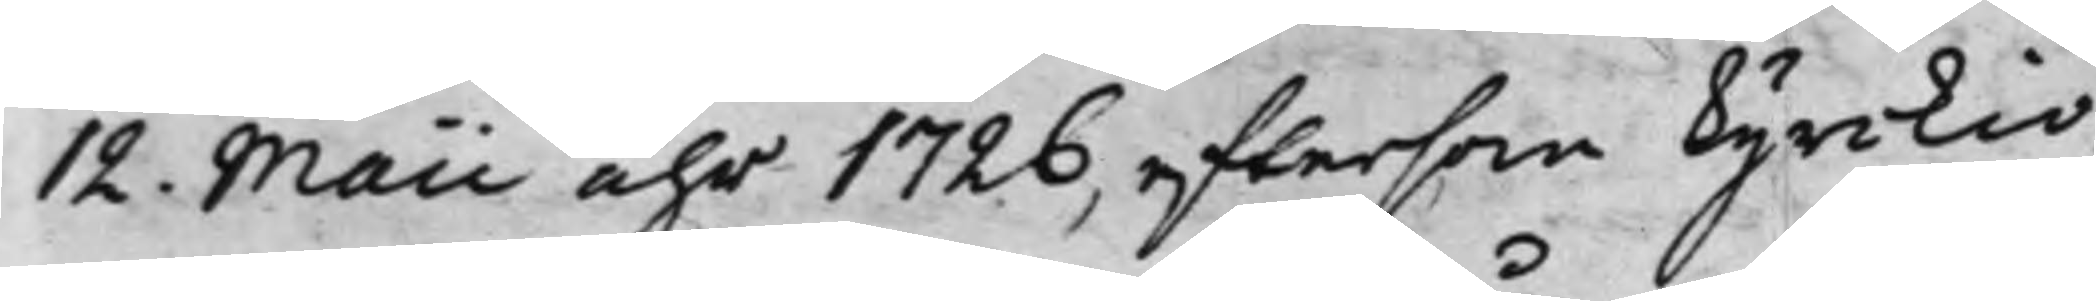12 Maii åhr 1726, eftersom Kyrkio¬
